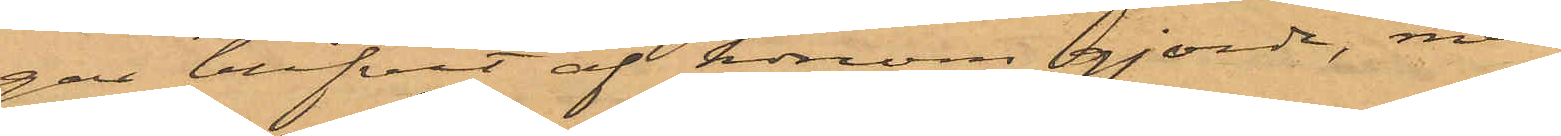gar blifvit af honom gjorde, men
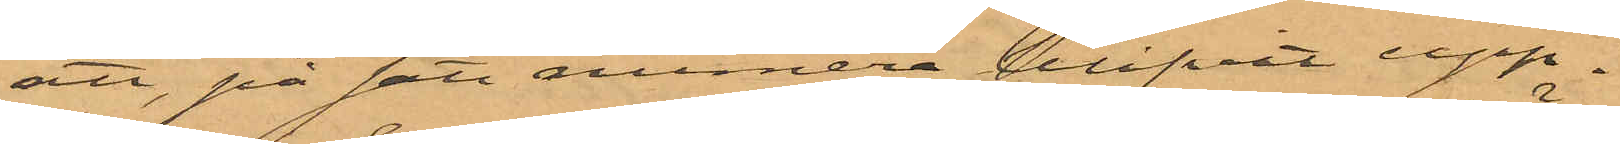att, på sätt numera blifvit upp¬
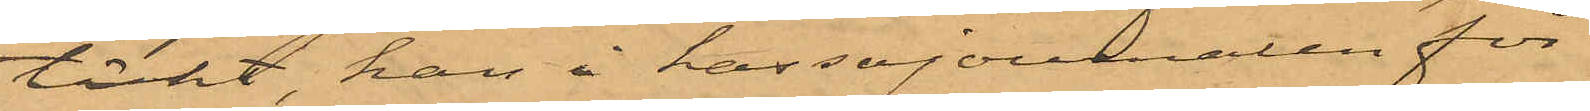täckt, han i kassajounalen för
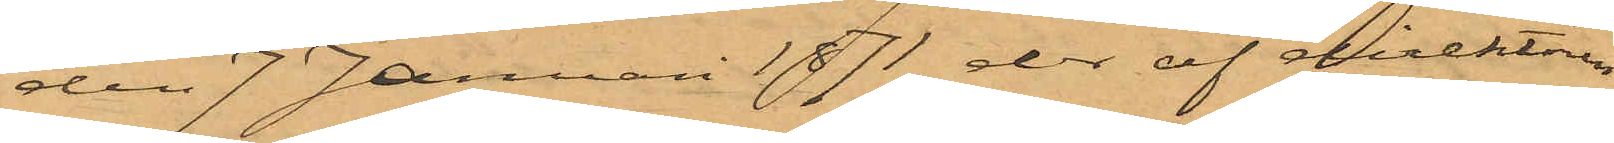den 7 Januari 1871 der af direktören
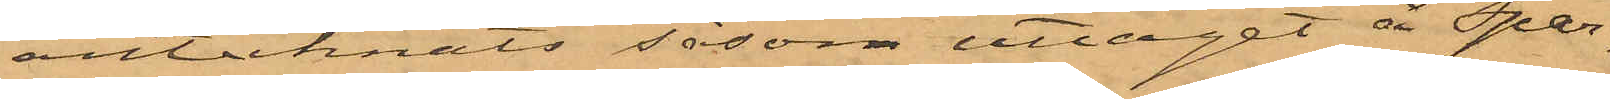antecknats såsom uttaget å Spar¬
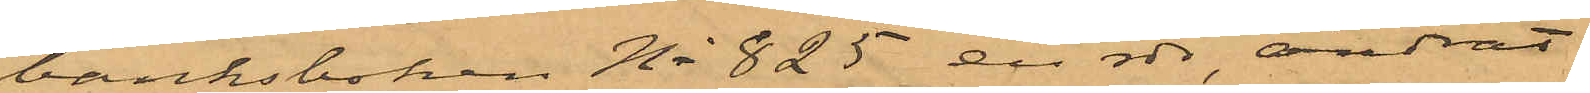banksboken No 825 en rdr, ändrat
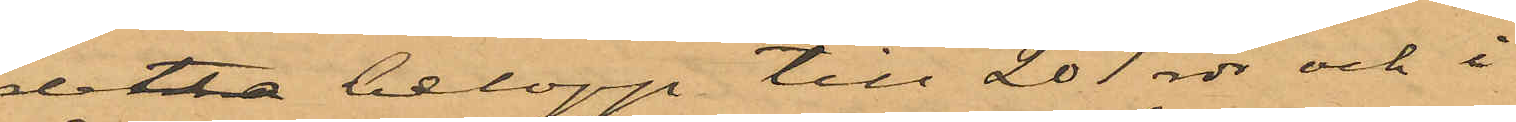detta belopp till 201 rdr och i
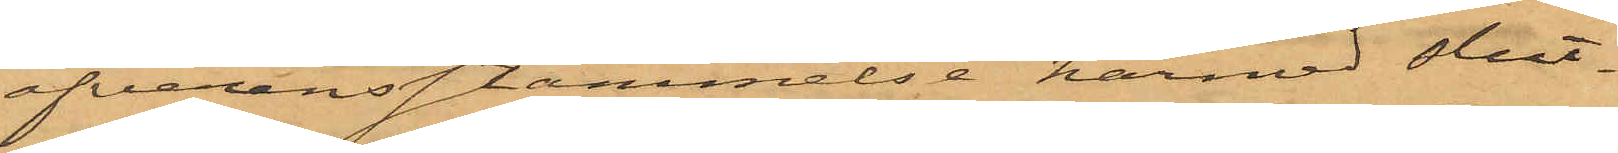öfverensstämmelse härmed slut¬
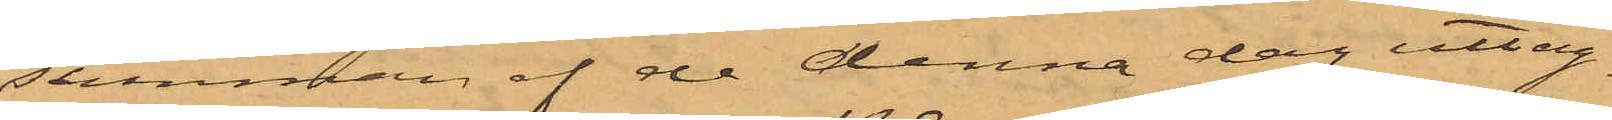summan af de denna dag uttag¬
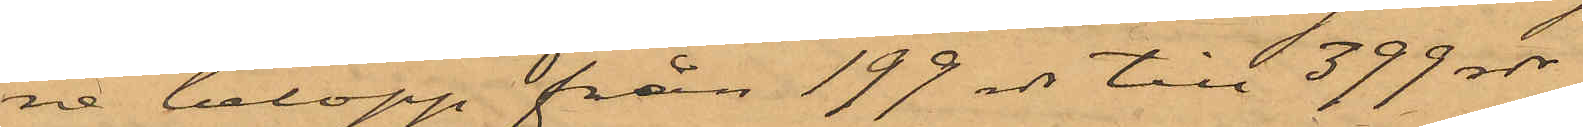ne belopp från 199 rdr till 399 rdr
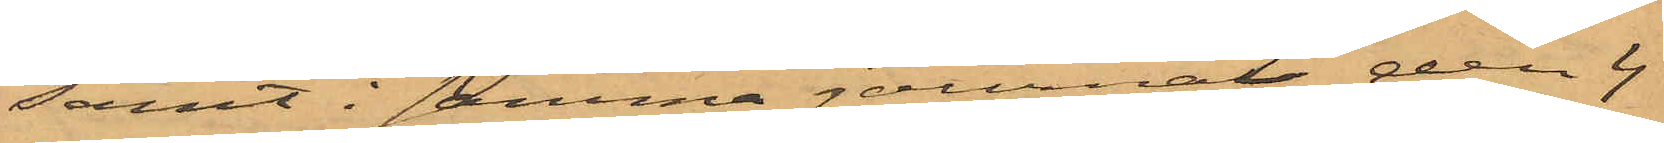samt i samma journal den 4
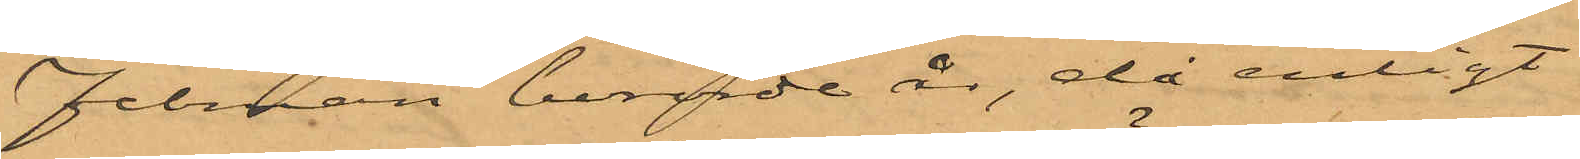Februari berörde år, då enligt
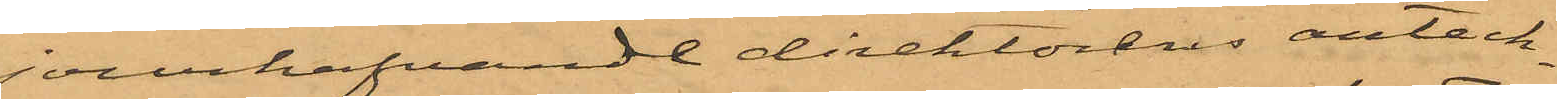jourhafvande direktörens anteck¬
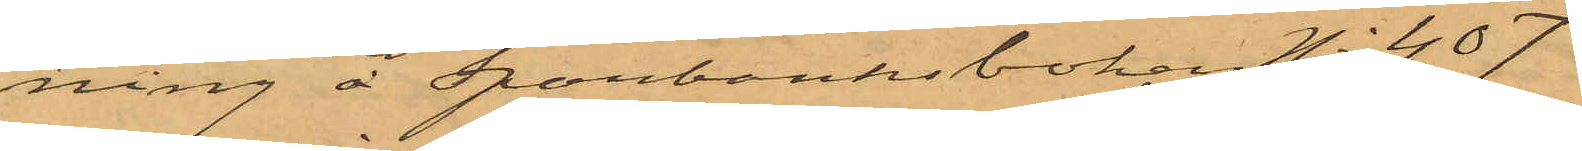ning å Spanbanksboken No 407
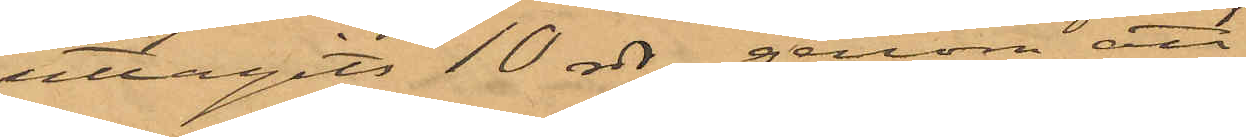uttagits 10 rdr, genom att
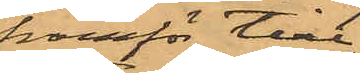framför till¬
